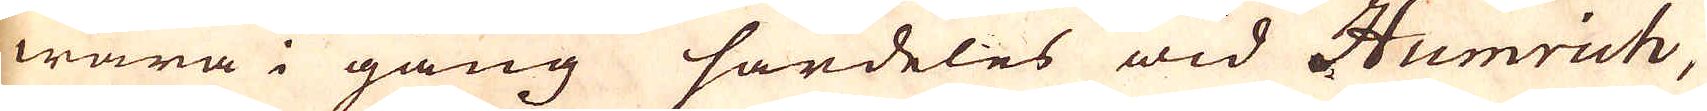wara i gång särdeles wid Humrich,
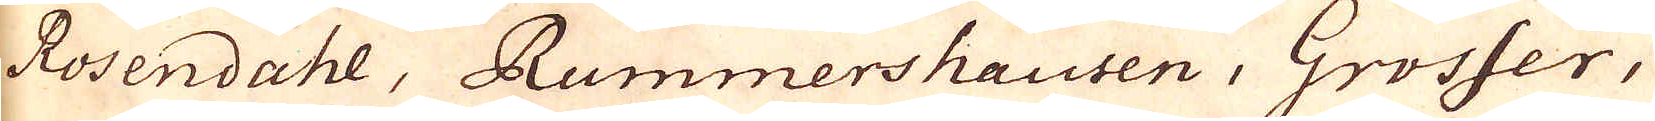Rosendahl, Rummershausen, Grosser,
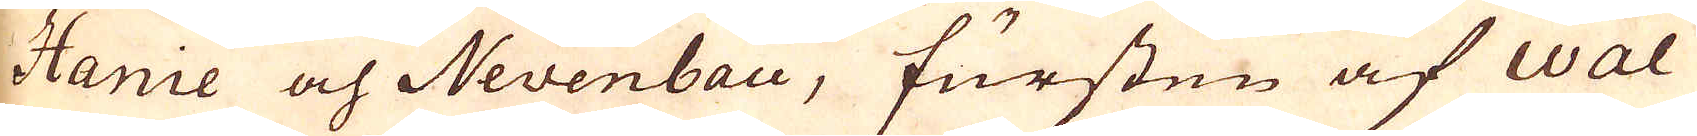Hanie och Nevenbau, fursten af Wal-
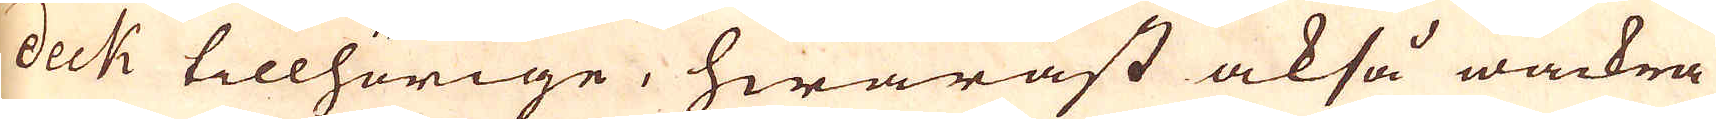deck tillhörige, hwaräst också wackra
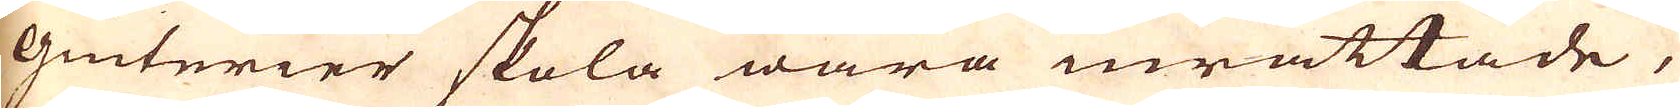Giuterier skola wara inrättade,
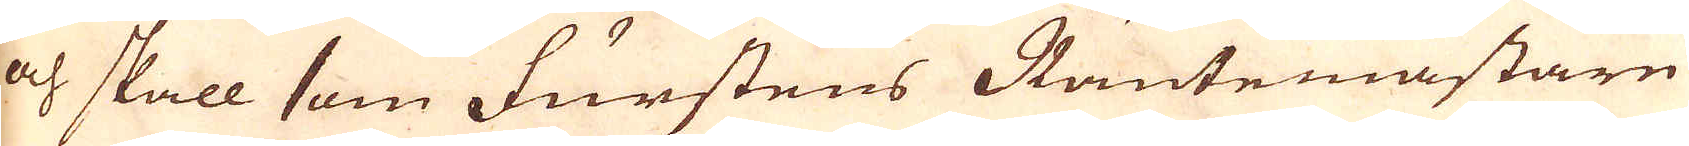och skall som furstens Räntemästare
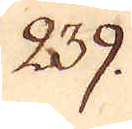239.
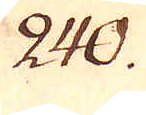240.
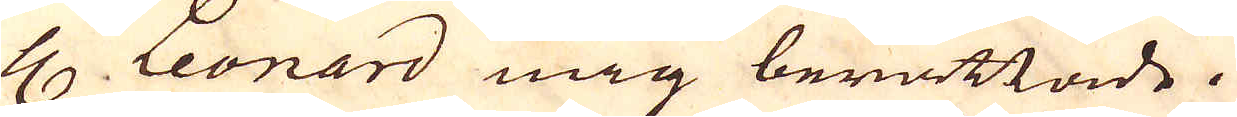H. Leonard mig berättade.
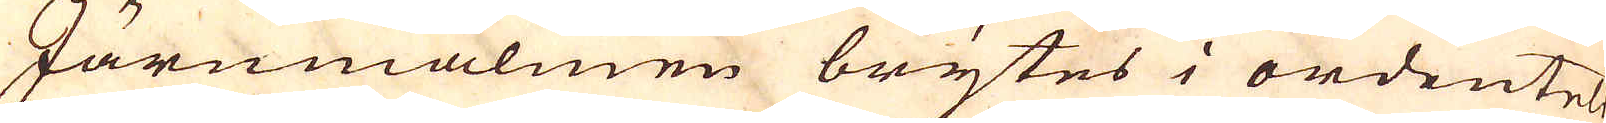Järnmalmen brytes i ordenteli-
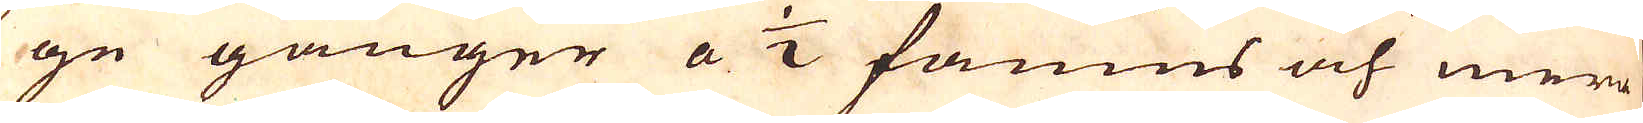ge gånger a 1/2 famns och mera
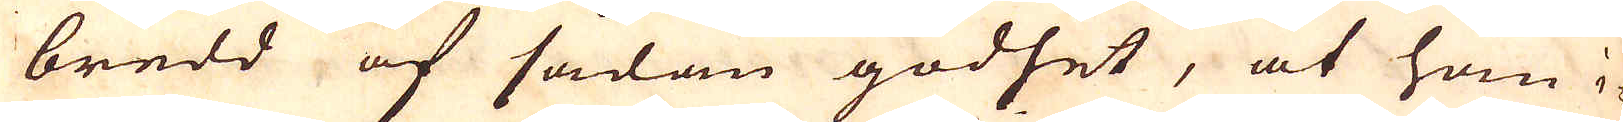bredd af sådan godhet, at hon i-
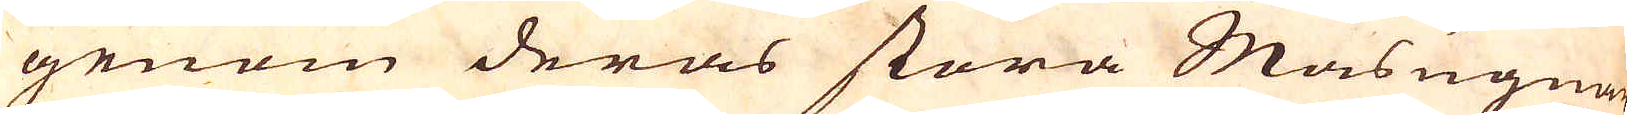genom deras stora Masugnar
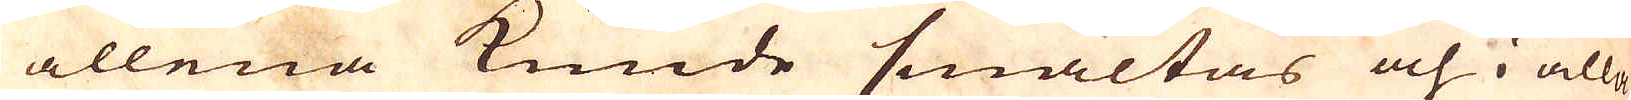allena kunde smältas och i alla
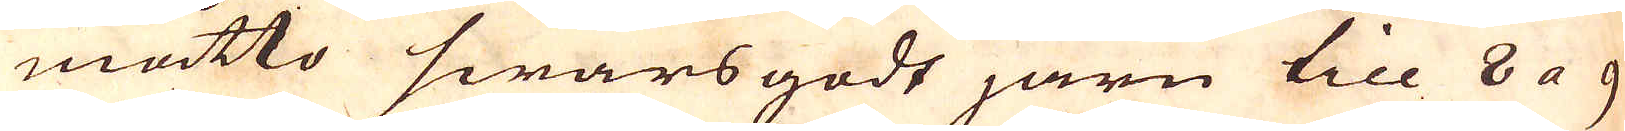måtto swarsgodt järn till 8 a 9
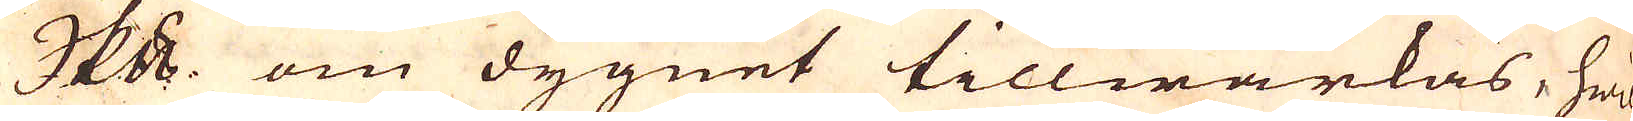skeppund om dygnet tillwärkas, hwil-
